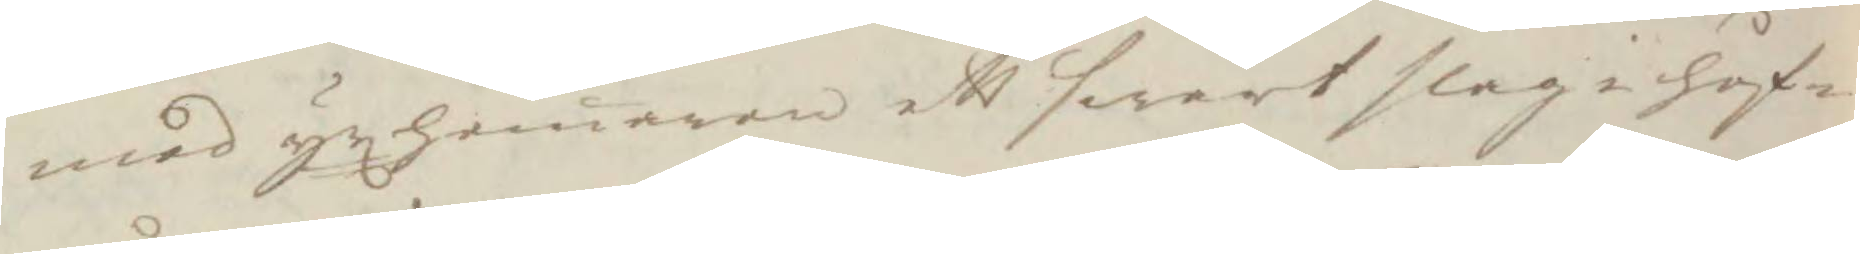med yxhamaren ett swårt slag i huf¬
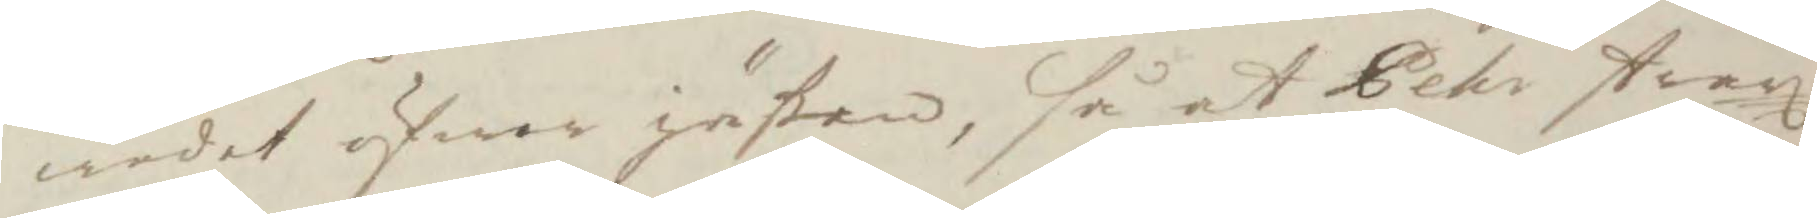wudet öfwer jäßen, så at Pehr strax
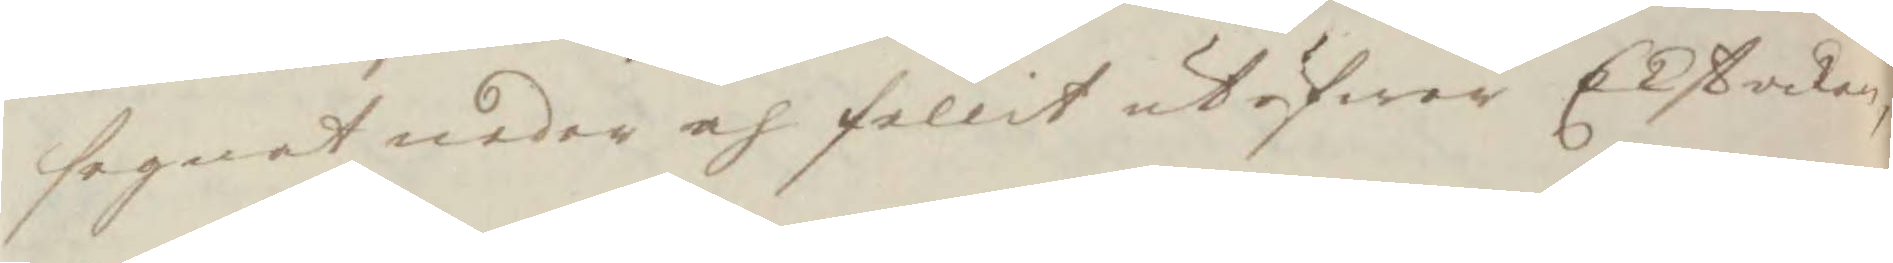segnat neder och fallit utöfwer Ekstocken
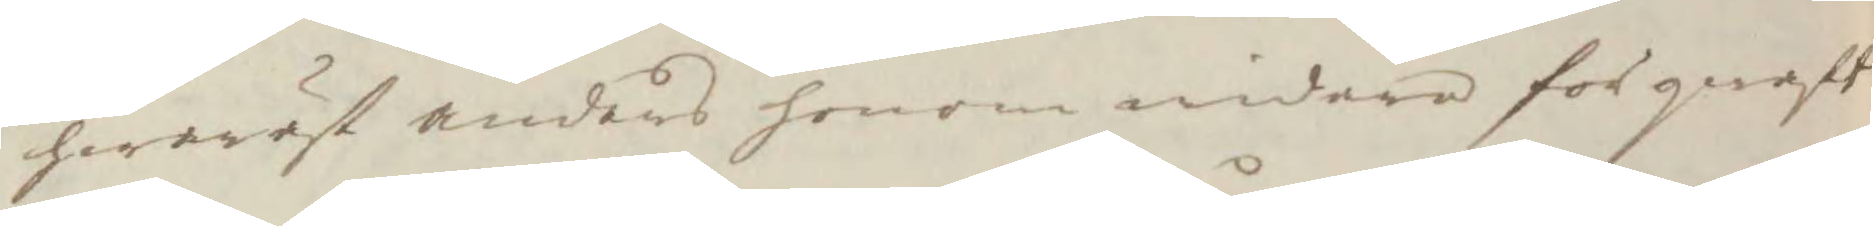hwarest anders honom widare förqwaft
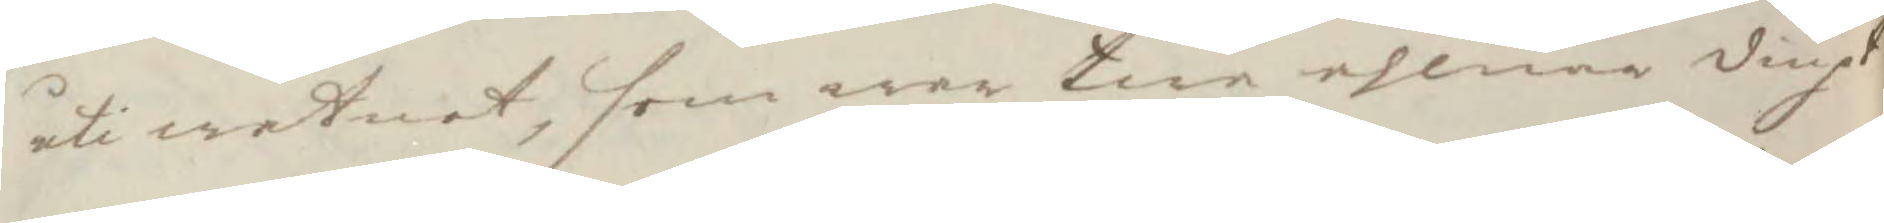uti watnet, som war twå ahlnar diupt
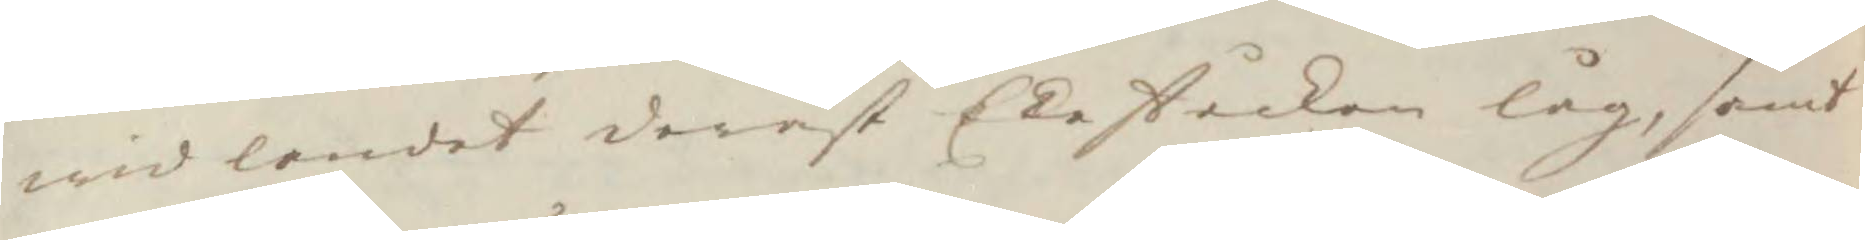wid landet deräst Ekeståcken låg, samt
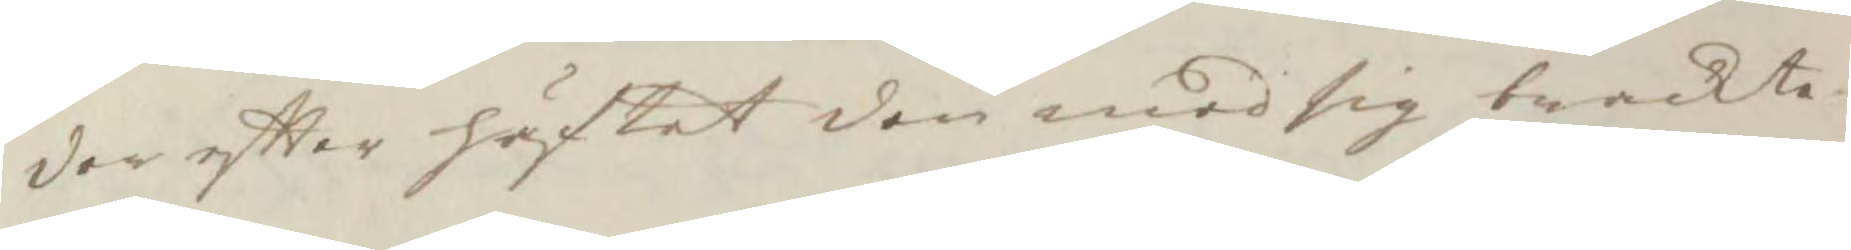der eftter häftat den med sig brackte
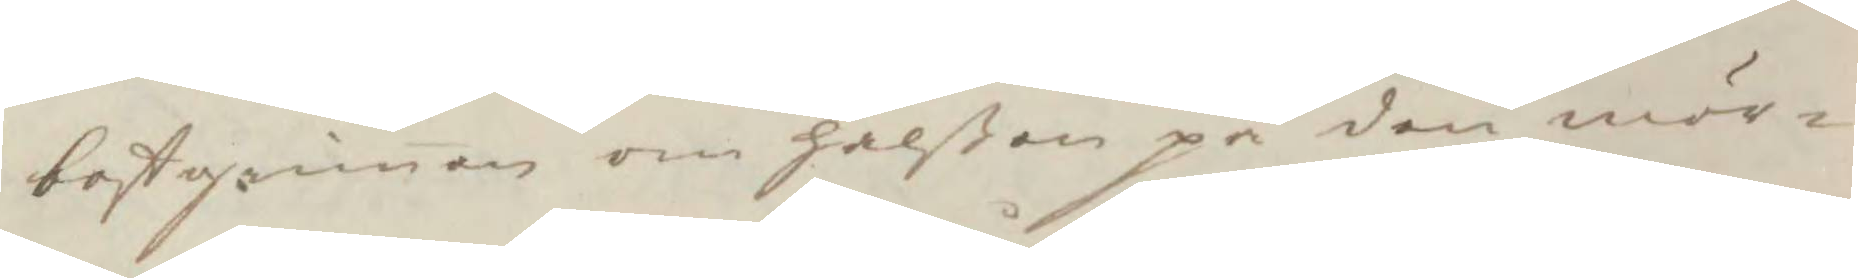bostgrimen om halßen på den mör¬
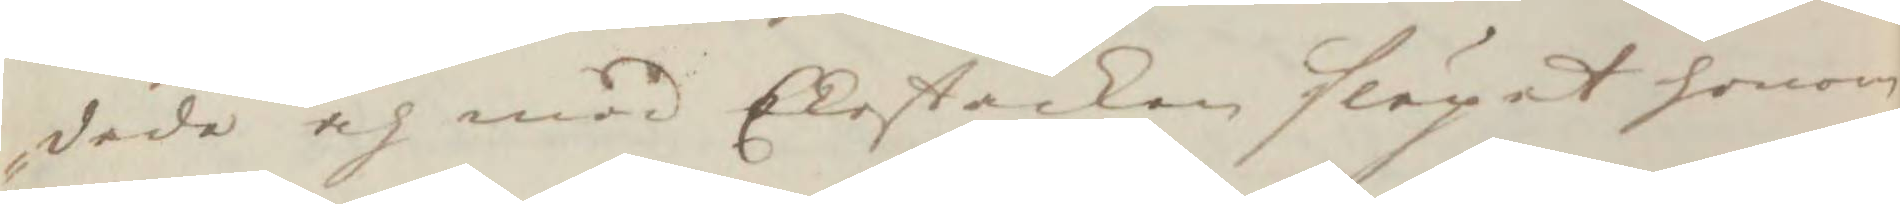dade och med Ekeståcken släpat honom
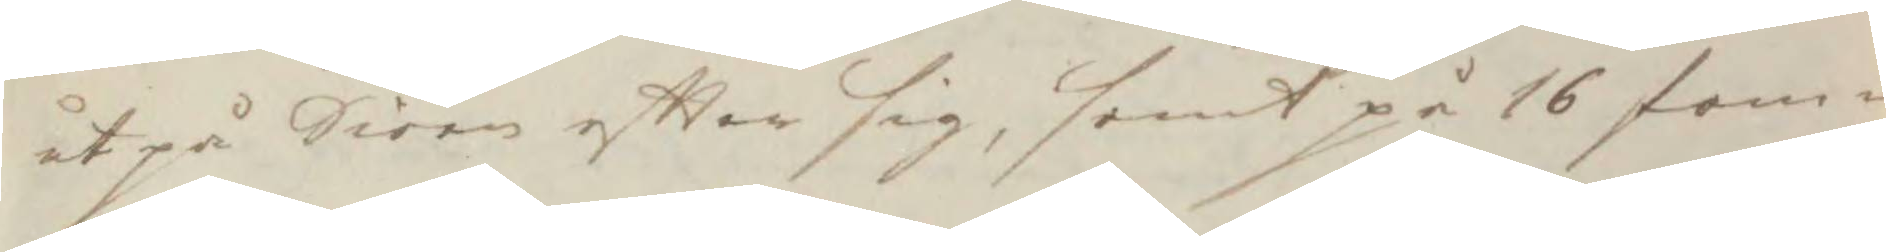ut på Siöen eftter sig, samt på 16 fam¬
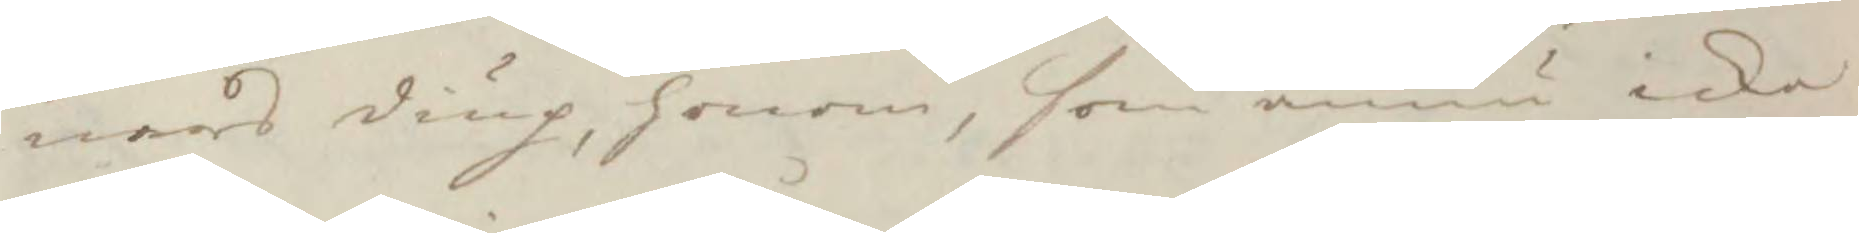nars diup, honom, som ännu icke
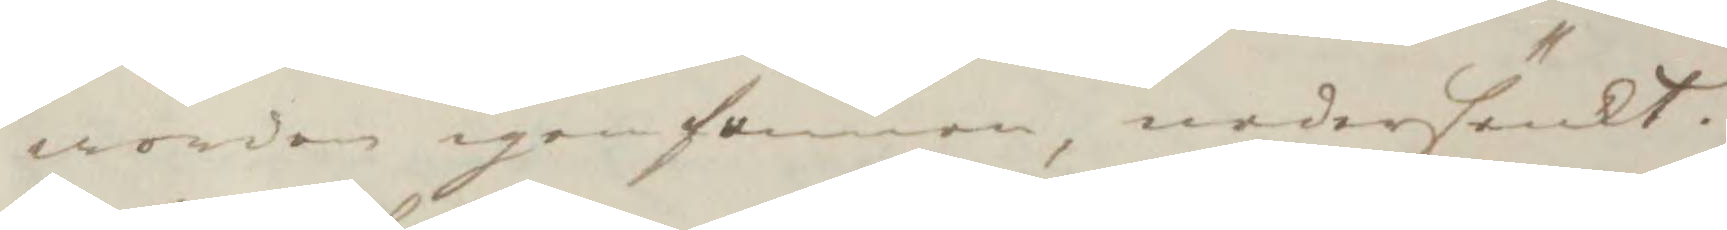worden igenfunnen, nedersänkt.
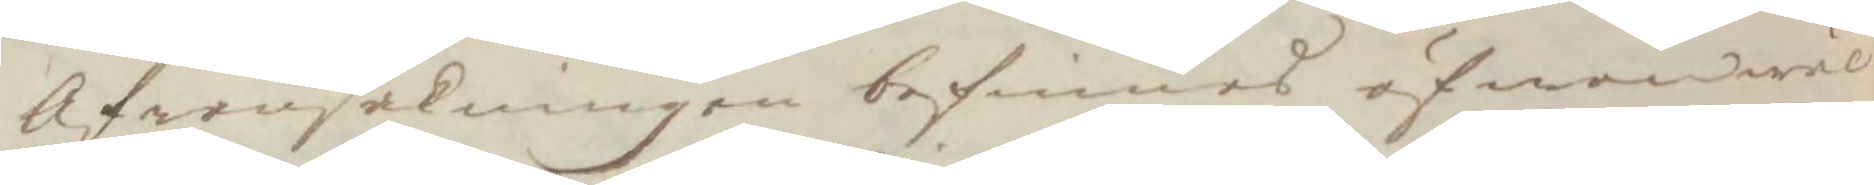Af ransakningen befinnes äfwenwäl
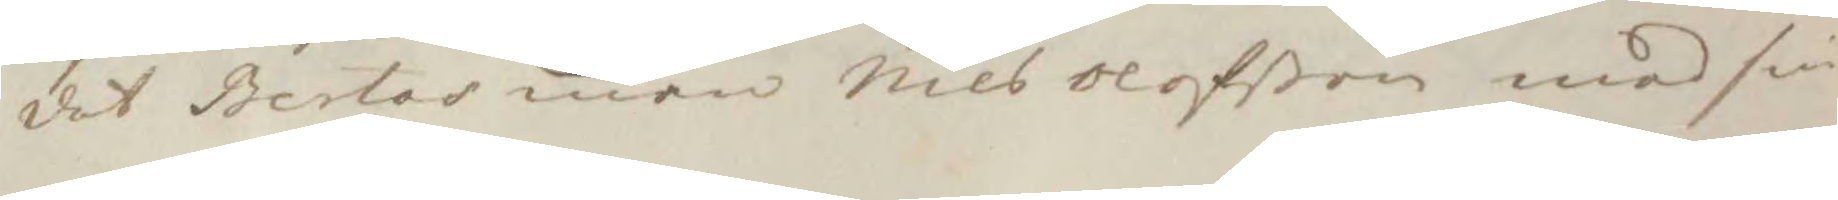det Bertas man Nils Olofßon med sin
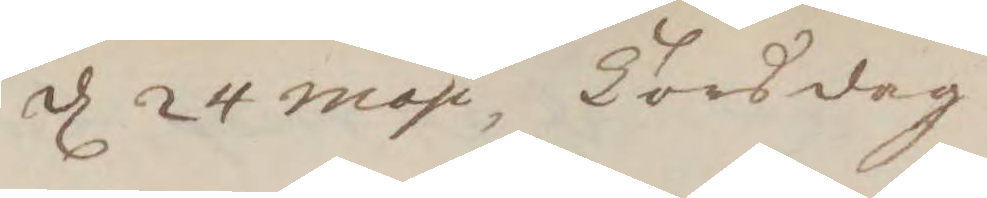d 24 maji Torsdag 
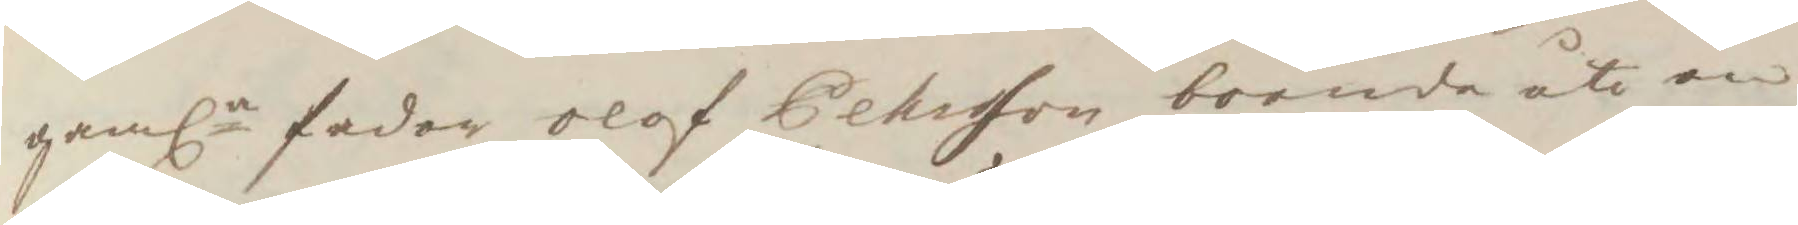gamla fader Olof Pehrsson boende uti en 
